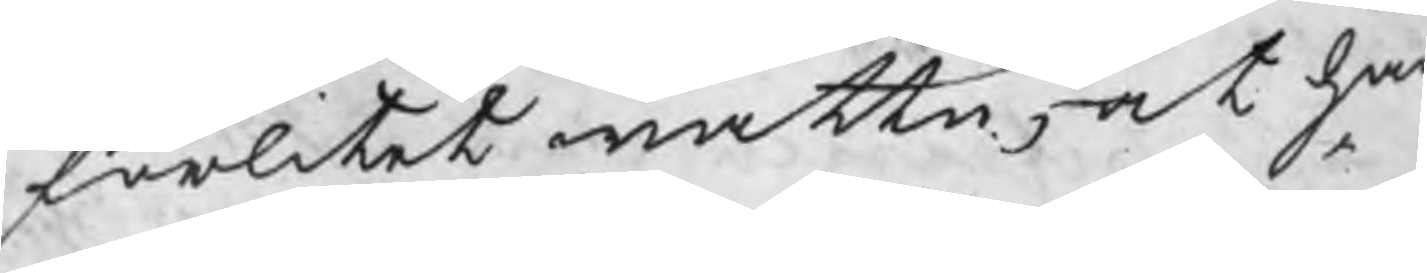förlitet wattn, at han
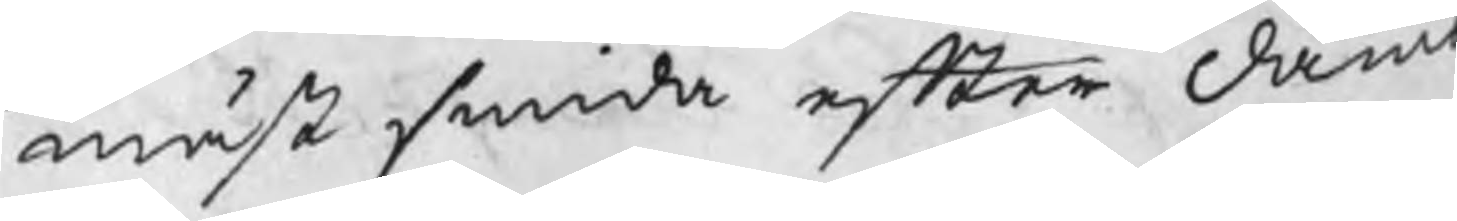mäst smida efter dämb
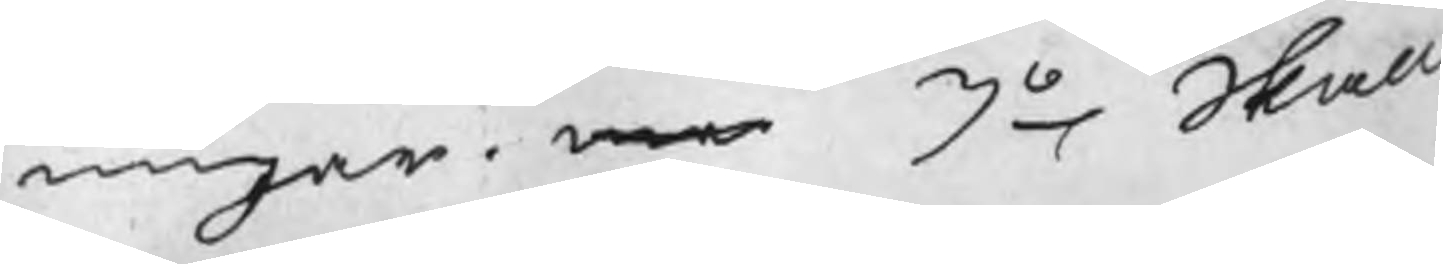ningar. me 3o Skall
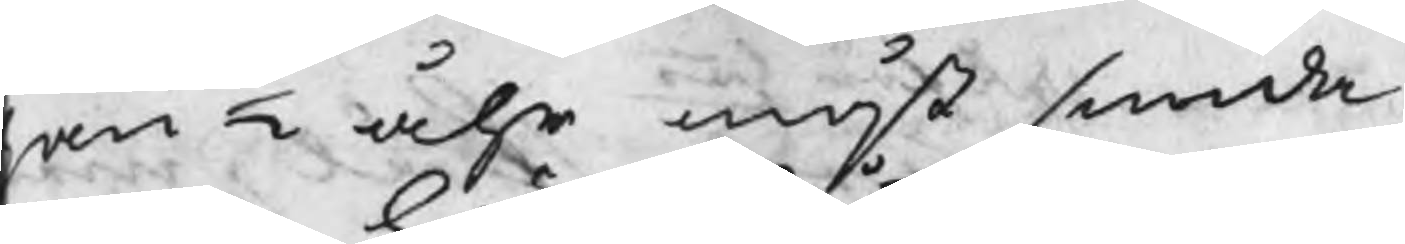an ½ åhr måst smida
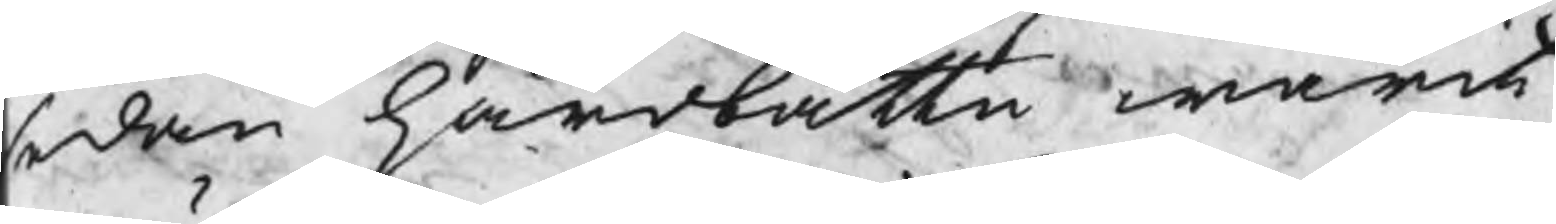sedan härdbåttn warit
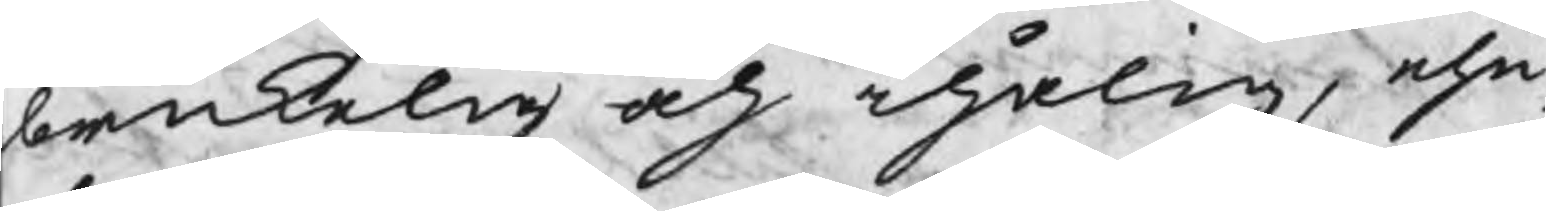brukelig och ihålig, ehu¬
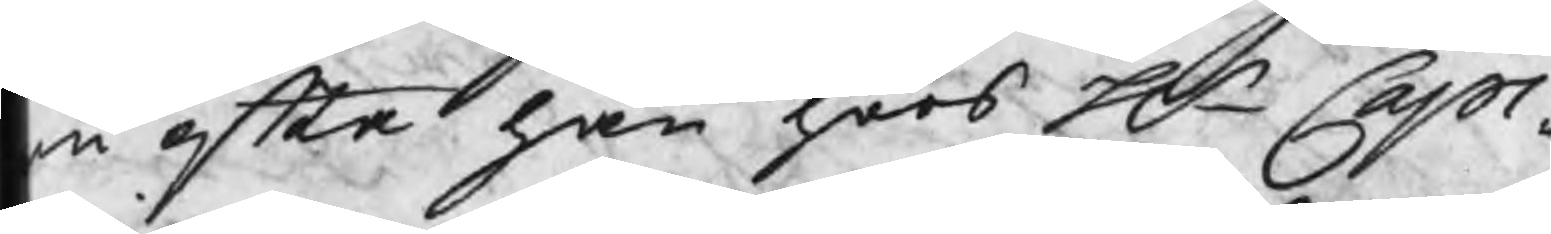u efter han hoos Hr Capi¬
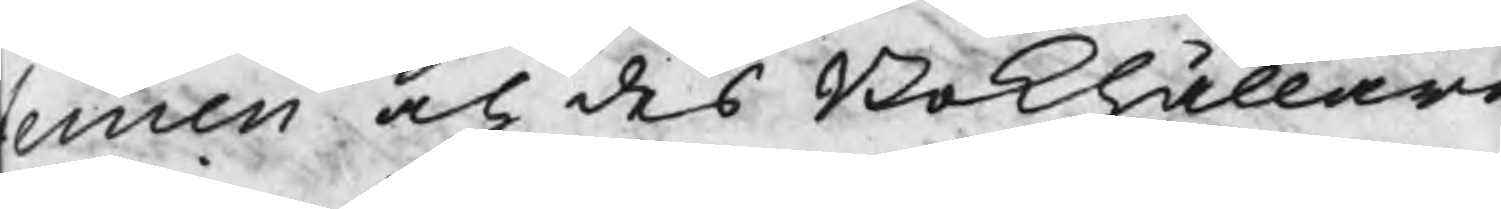teinen och des Bokhållare
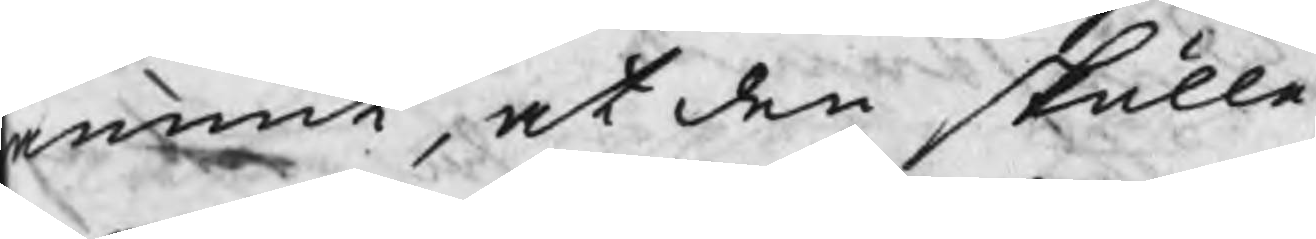ämnt, at den skulle
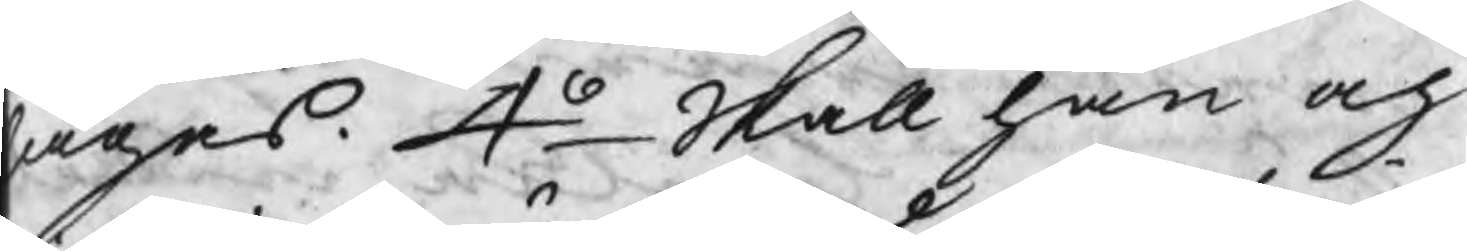agas. 4o Skall han och
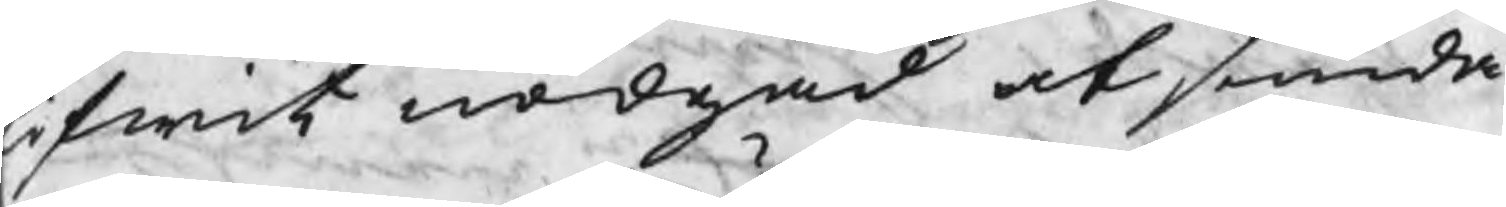ifwit nödgad at smida
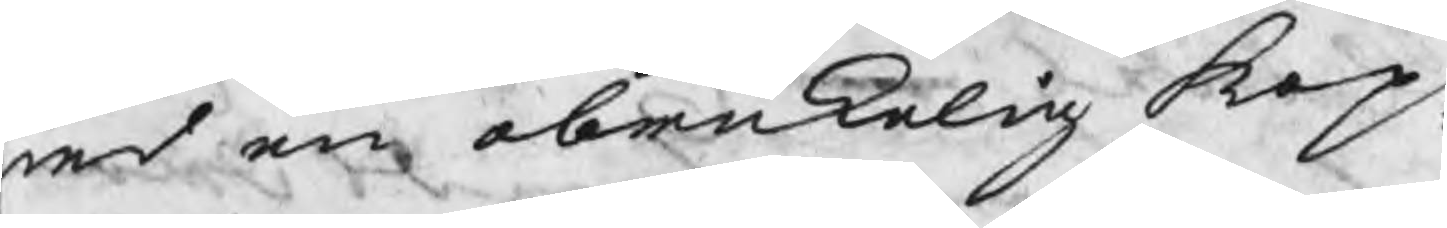ed en obrukelig kop¬
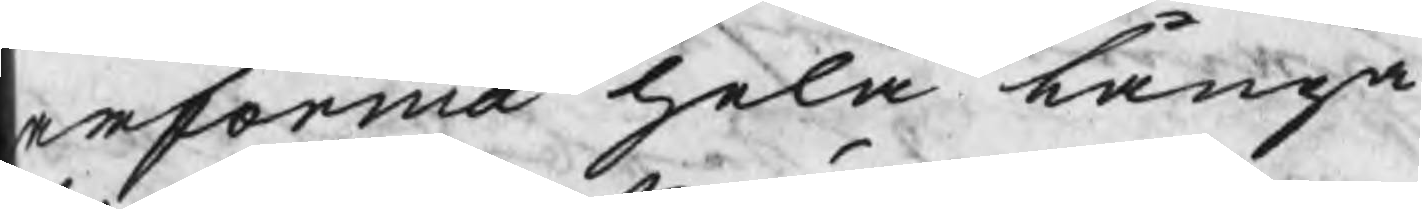arforma hela långa
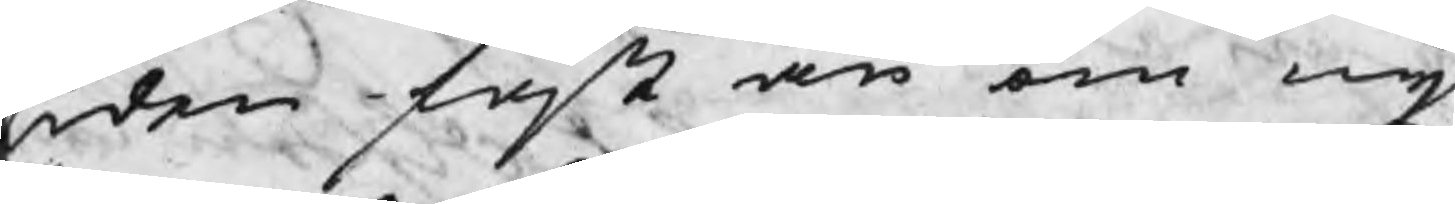tiden fast än om ny
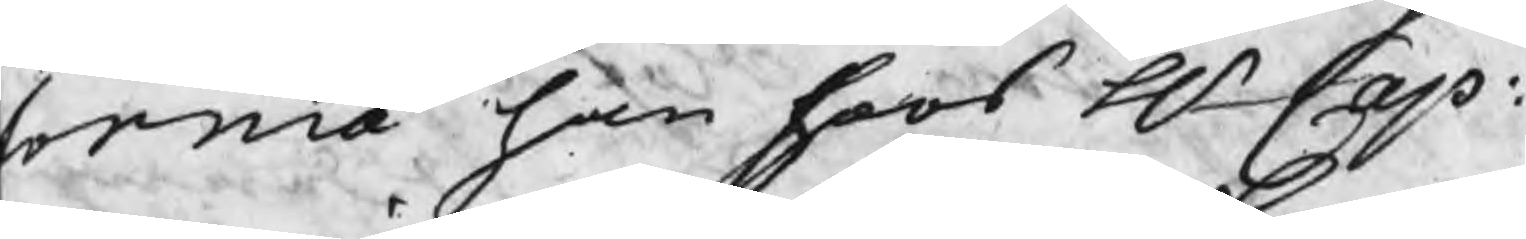forma han hoos Hr Cap:
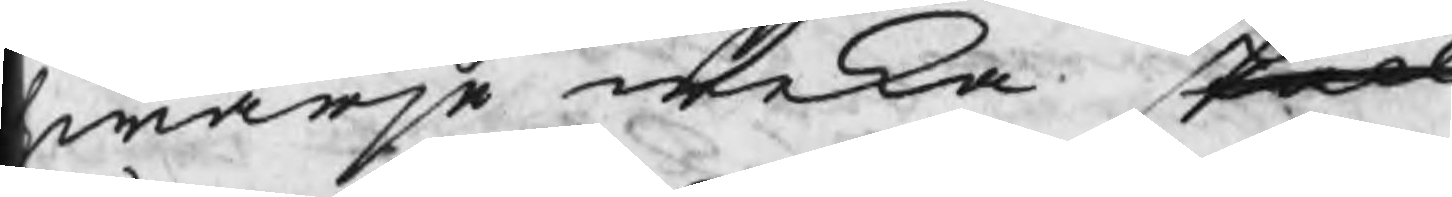warje weka skall
